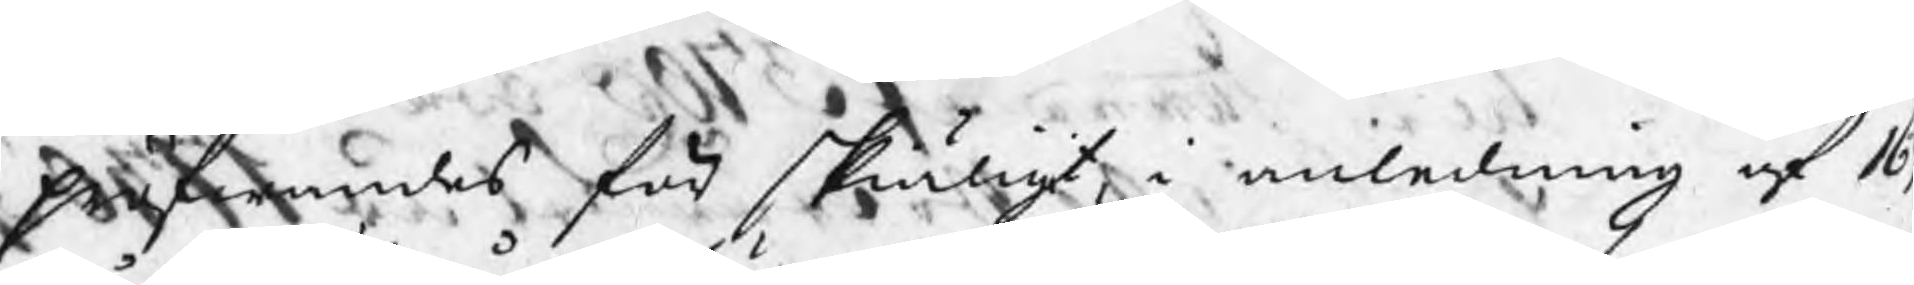Pröfwandes för skiäligt, i anledning af 16
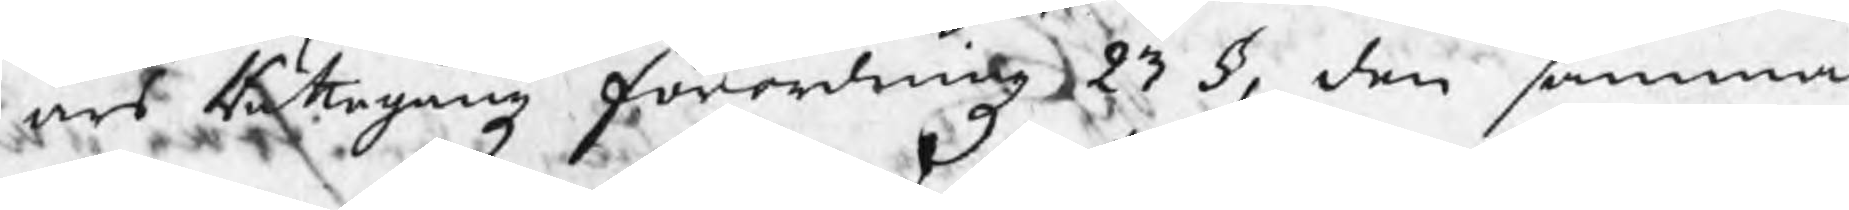års Rättegångz förordningz 23 §, den samma
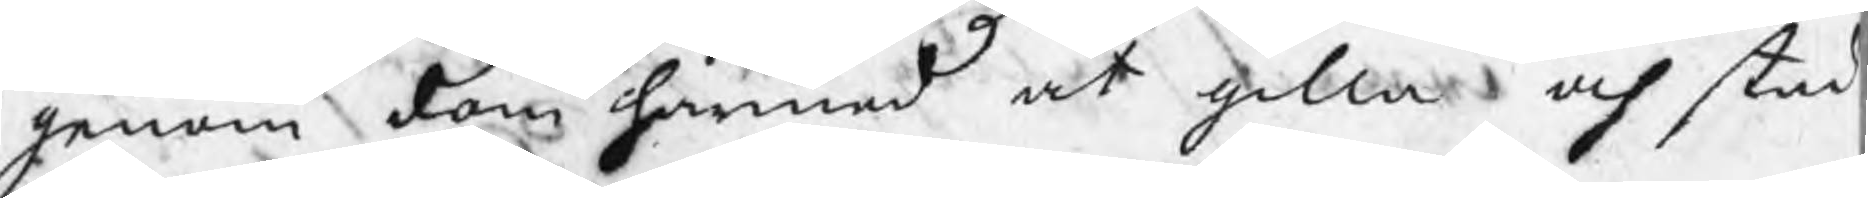genom dom härmed at gilla och stad¬
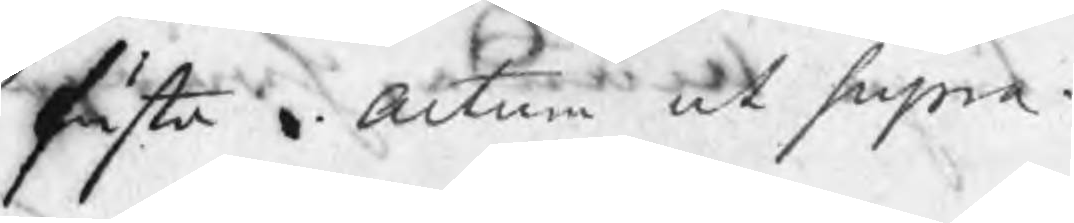fästa. Actum ut supra.
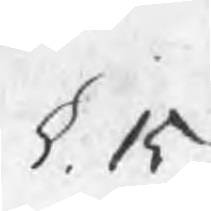§. 15.
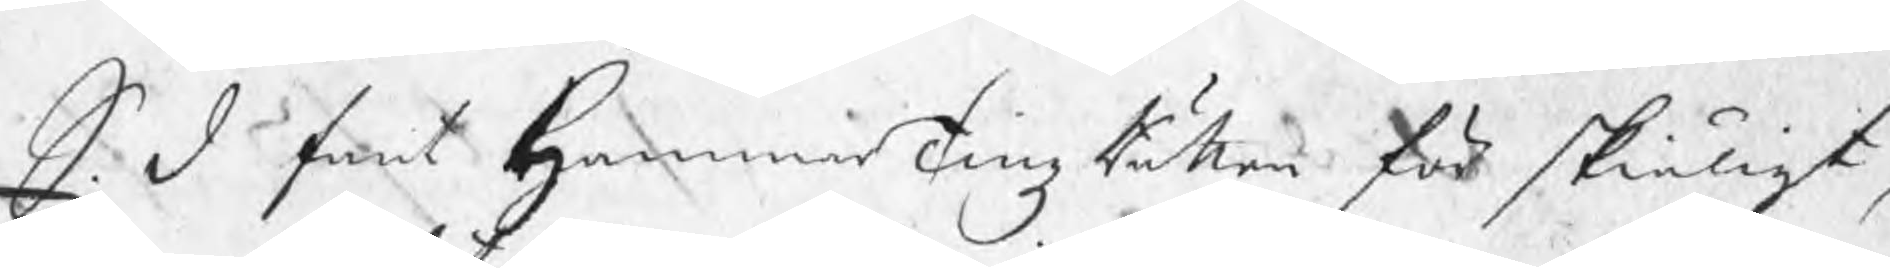S. D fant HammarTingzRätten för skiäligt,
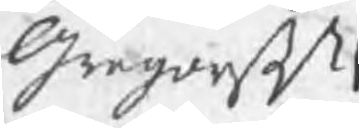Gregorß
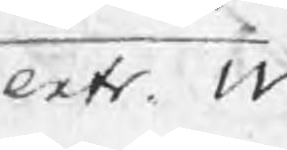extr. W
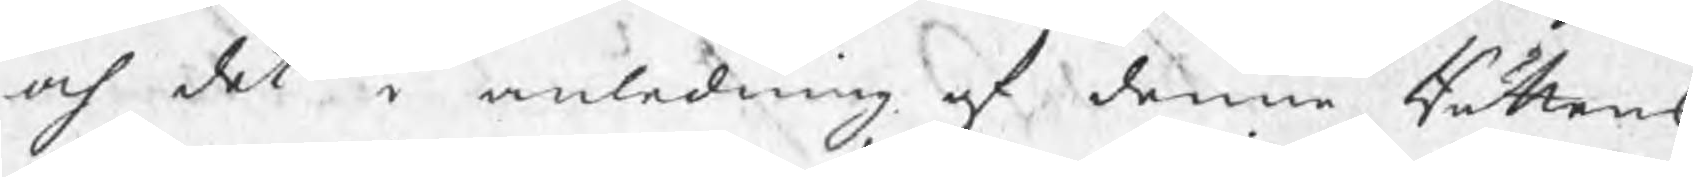och det i anledning af denne Rättens
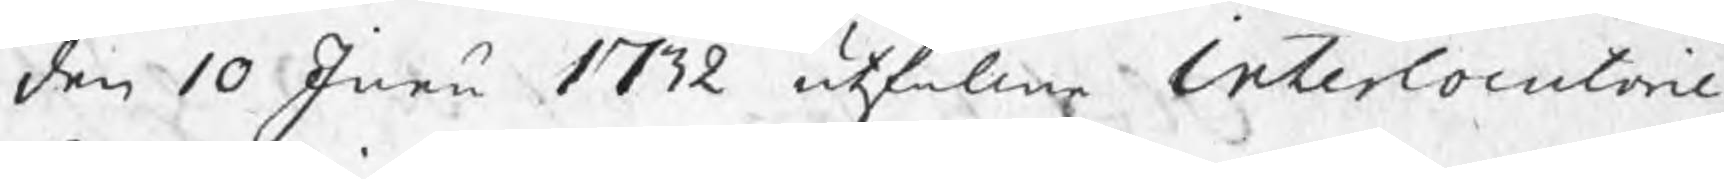den 10 Junii 1732 utfallne Interlocutorie
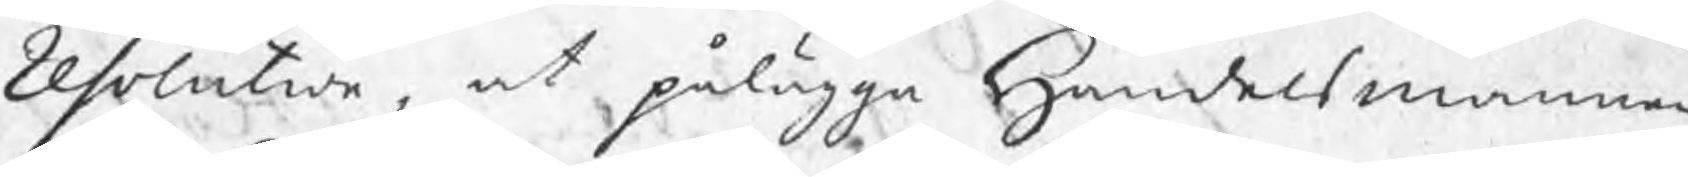resolution, at pålägga Handelsmannen
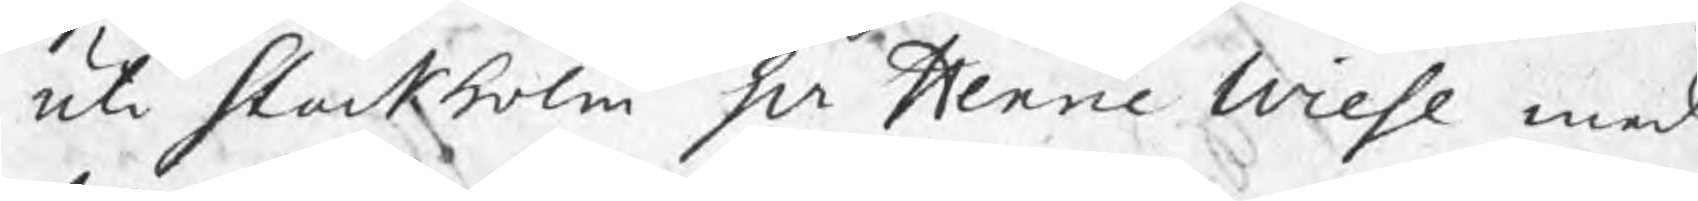uti Stockholm Hr Henric Wiese med
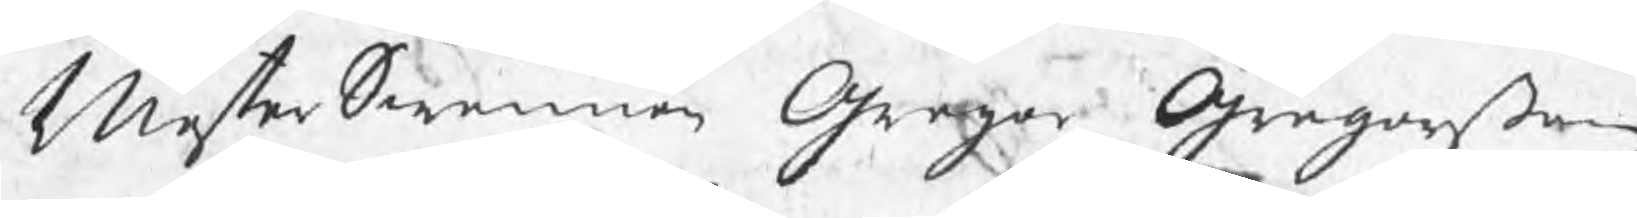MesterSwennen Gregor Gregorßon
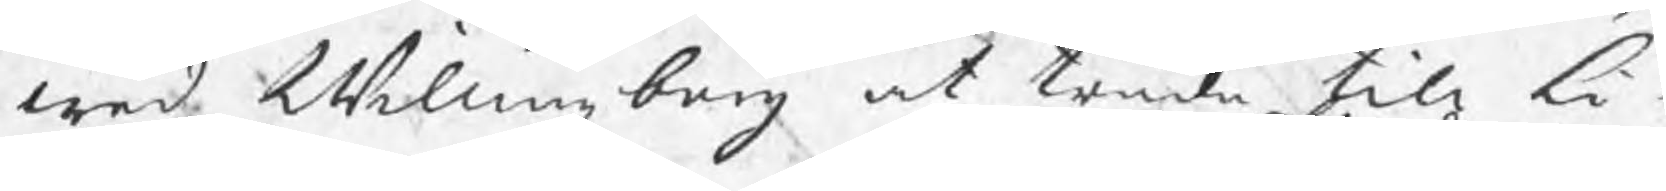wed Willingzberg at träda till Li¬
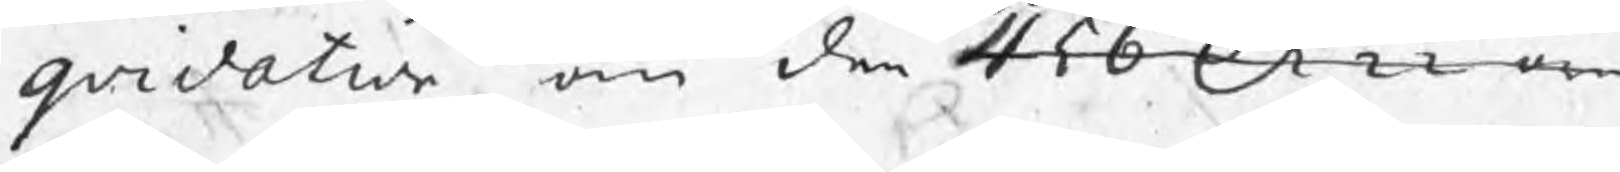qvidation om den 456 Dr 22 öre
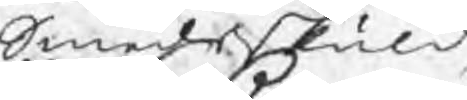Smedsskuld
